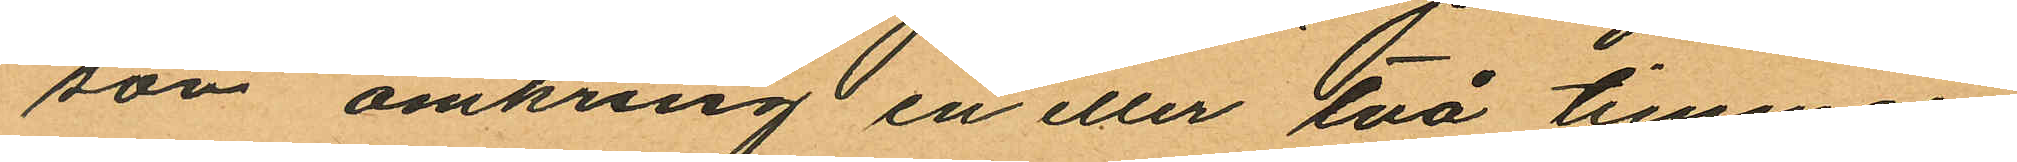son omkring en eller två timmar
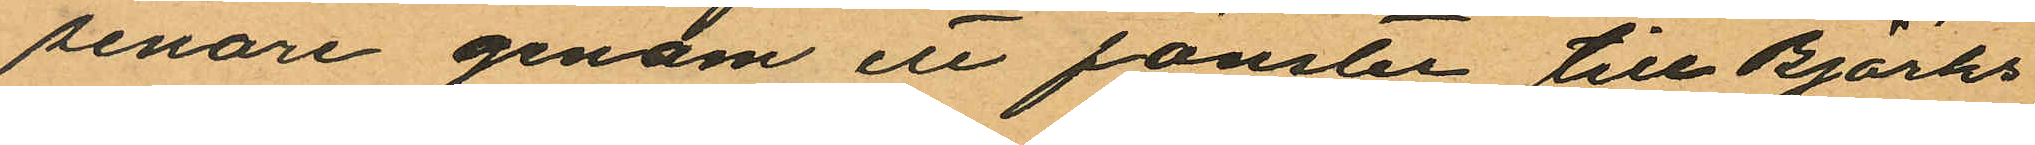senare genom en fönster till Björks
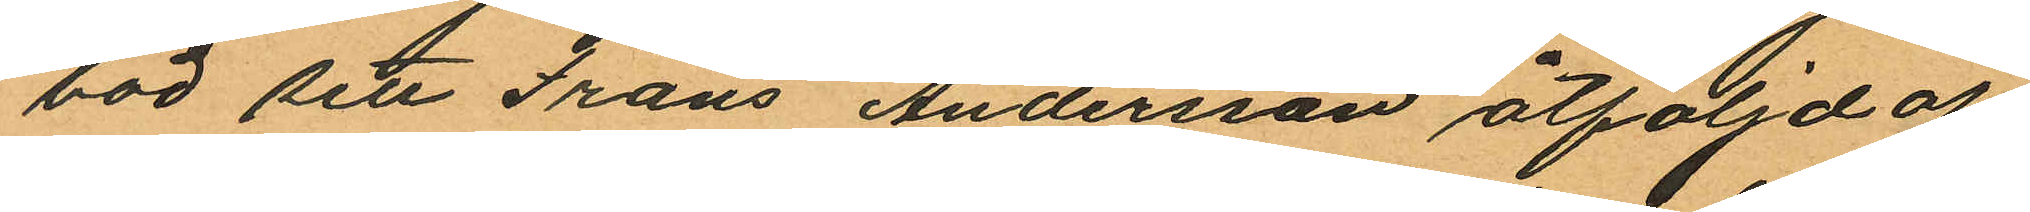bod sett Frans Andersson åtföljd af
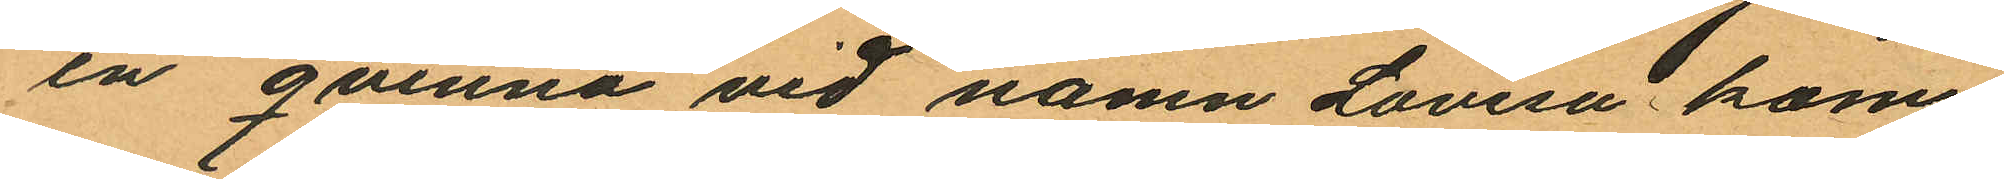en qvinna vid namn Lovisa kom
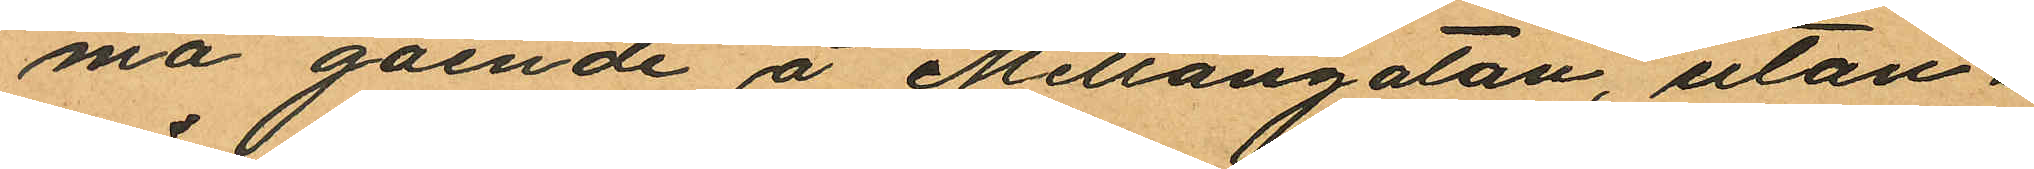ma gående å Mellangatan, utan
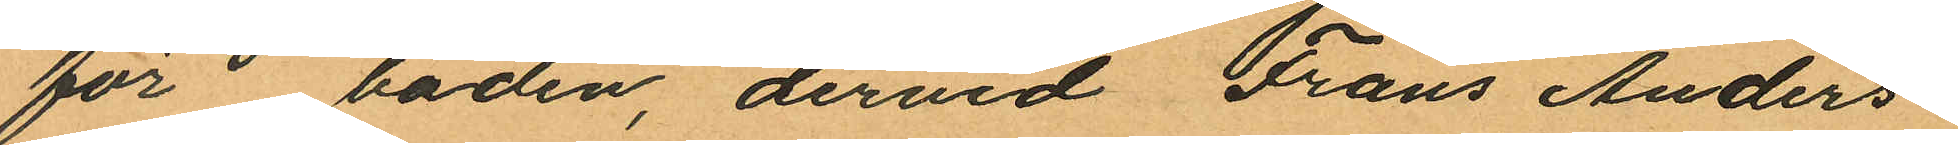för boden, dervid Frans Anders
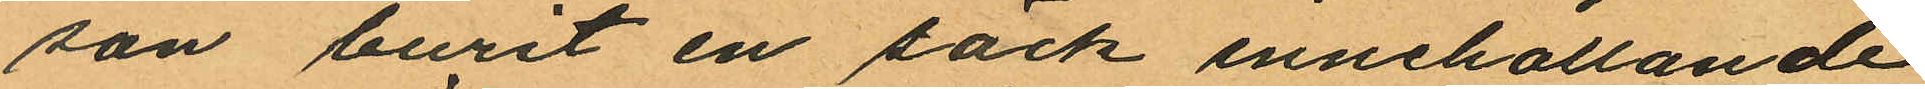son burit en säck innehållande
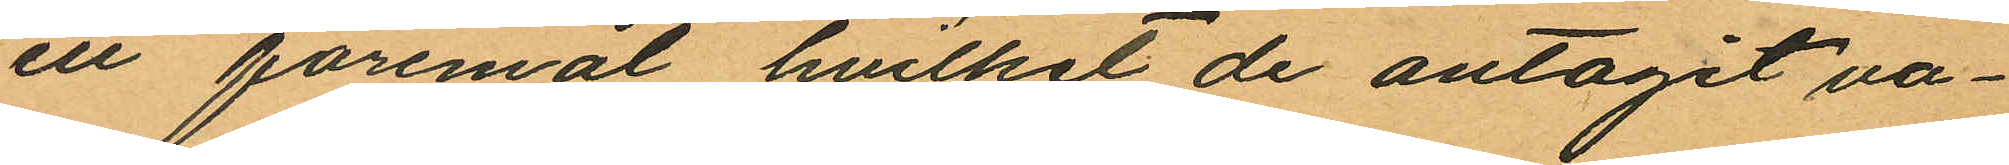ett föremål hvilket de antagit va¬
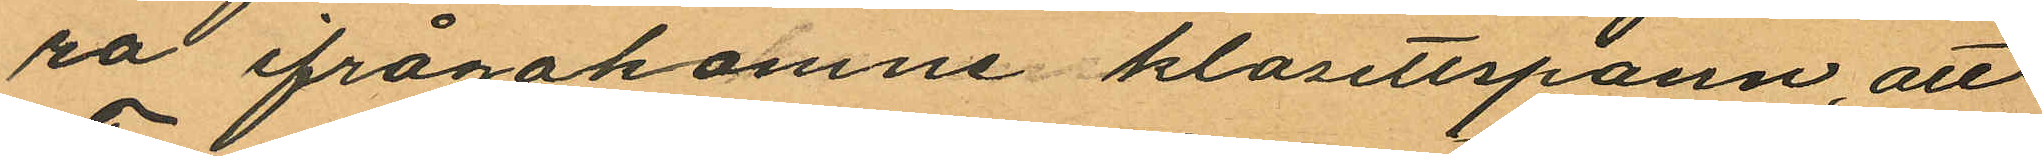ra ifrågakomne klosettspann, att
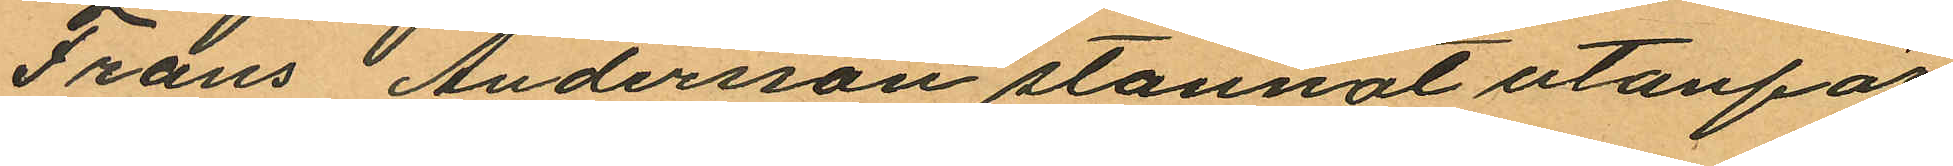Frans Andersson stannat utanför
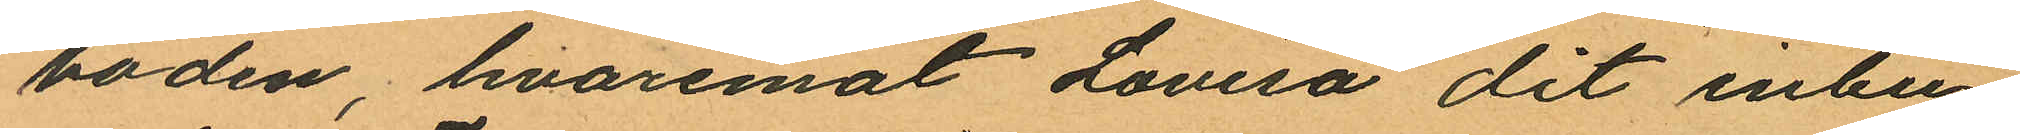boden, hvaremot Lovisa dit inbu¬
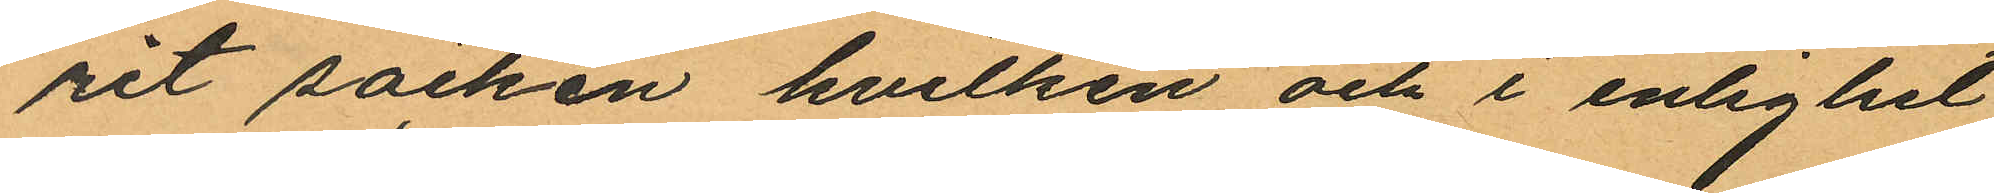rit säcken hvilken och i enlighet
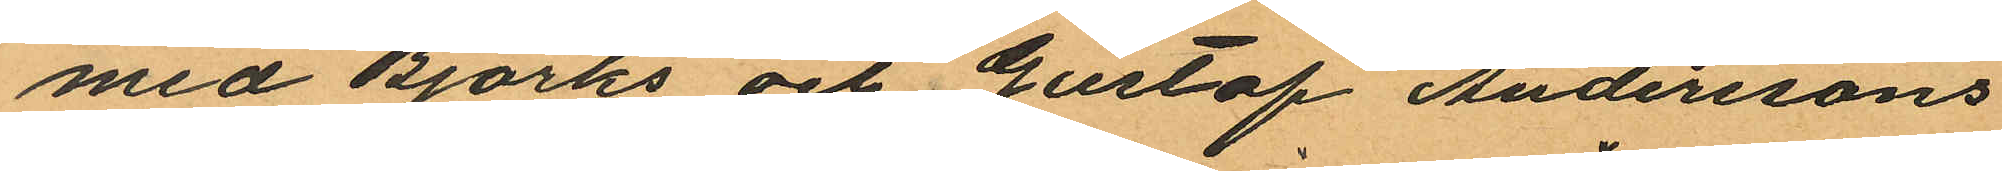med Björks och Gustaf Anderssons
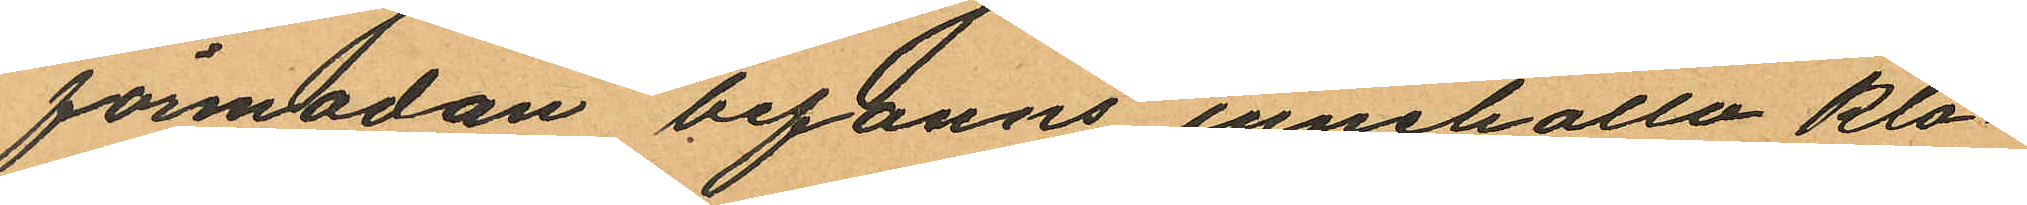förmodan befanns innehålla klo¬
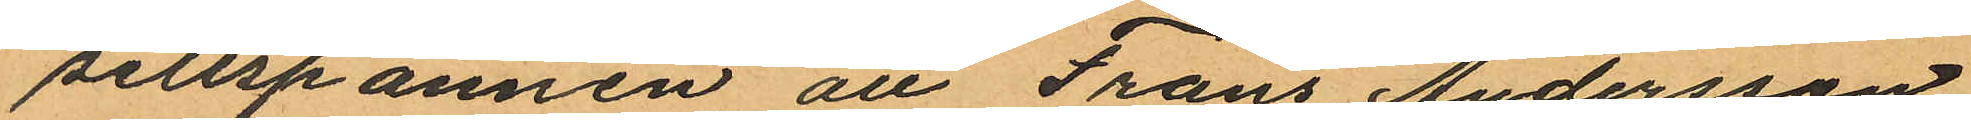settspannen att Frans Andersson
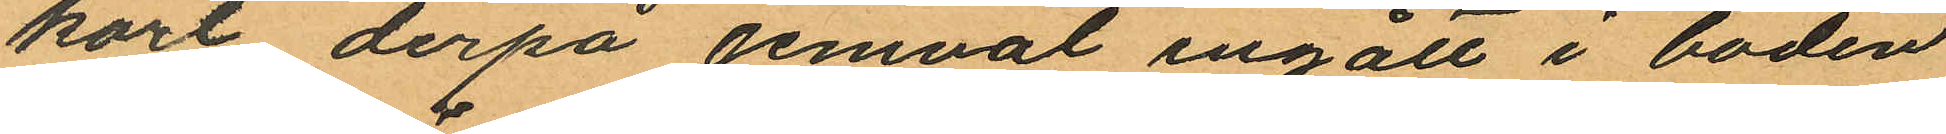kort derpå jemväl ingått i boden
